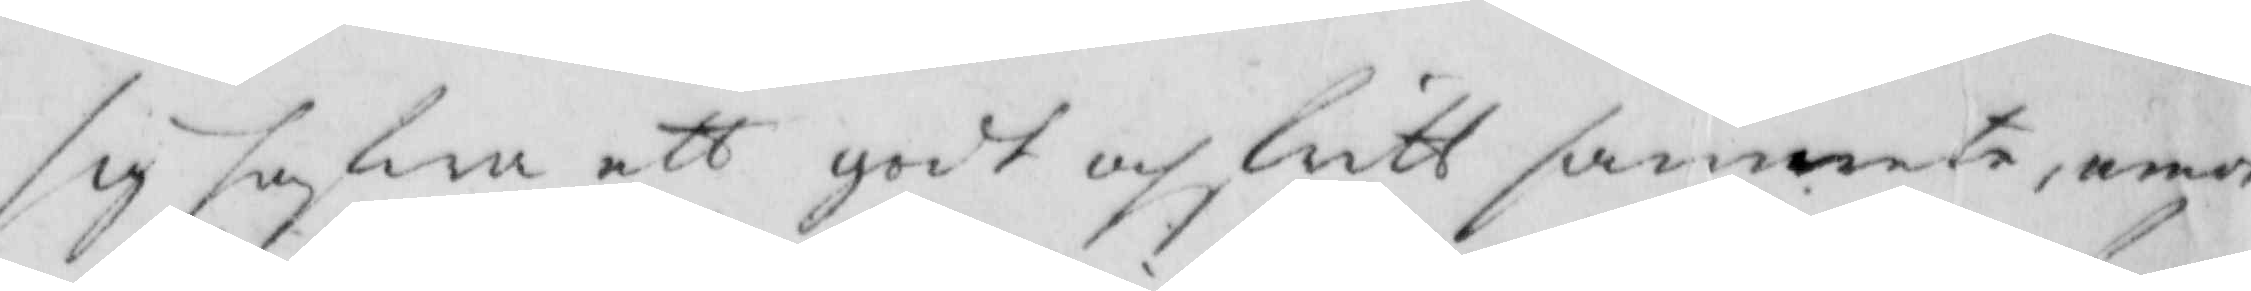sig hafwa ett godt och lätt samwete, emot
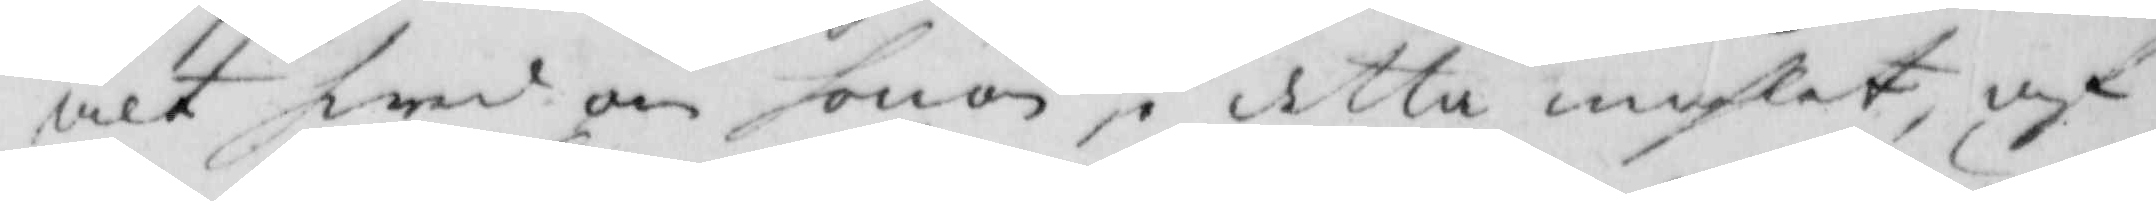alt hwad om honom i detta måhlet af
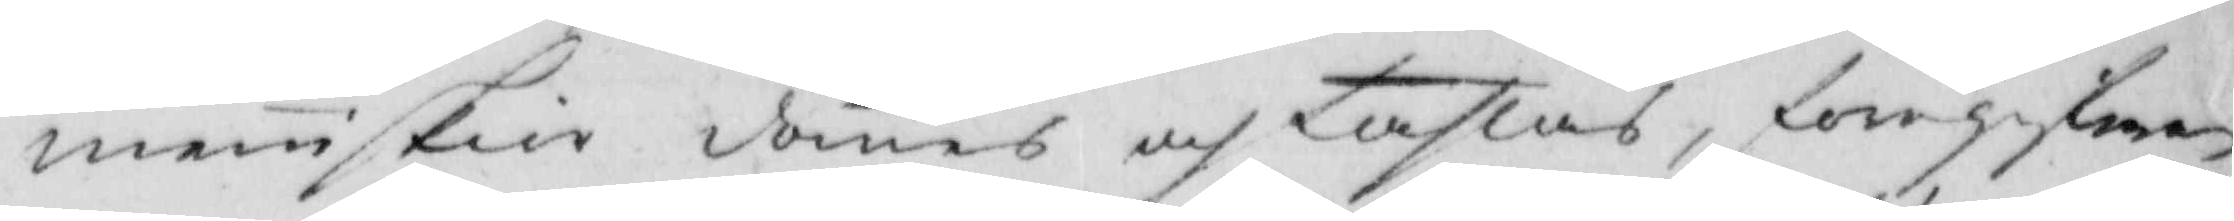meniskior dömes och lastas, föregifwan¬
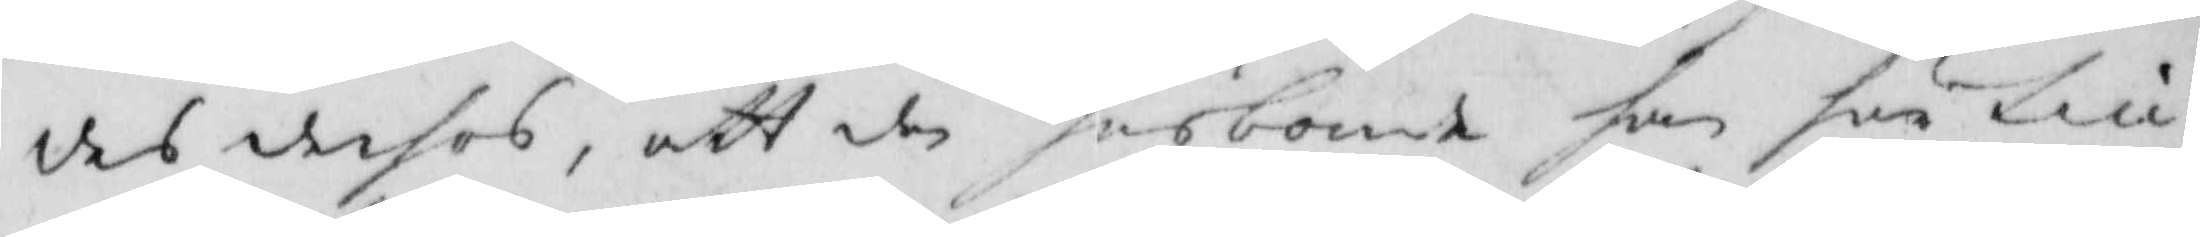des derhos, att den husbonde han här till
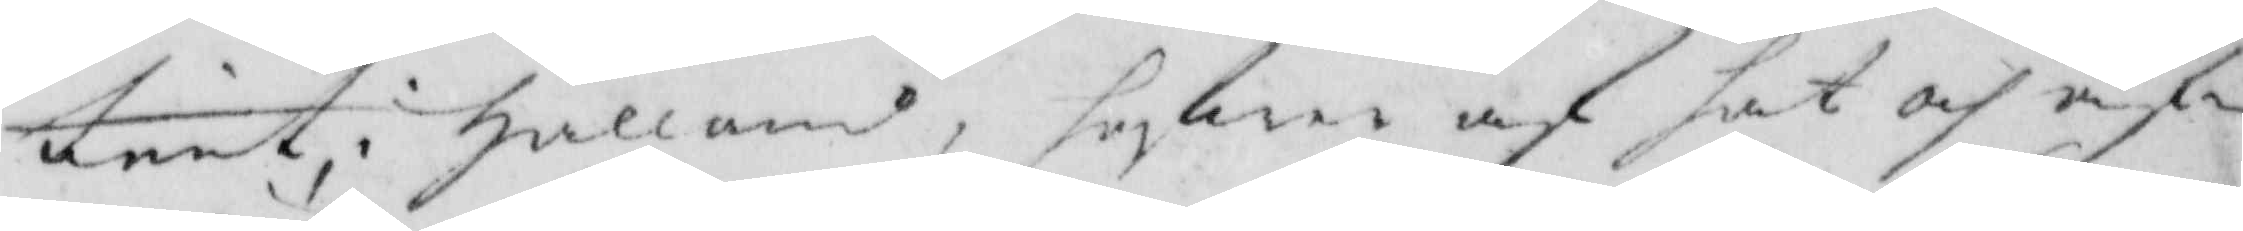tient i Halland, hafwen af hat och af¬
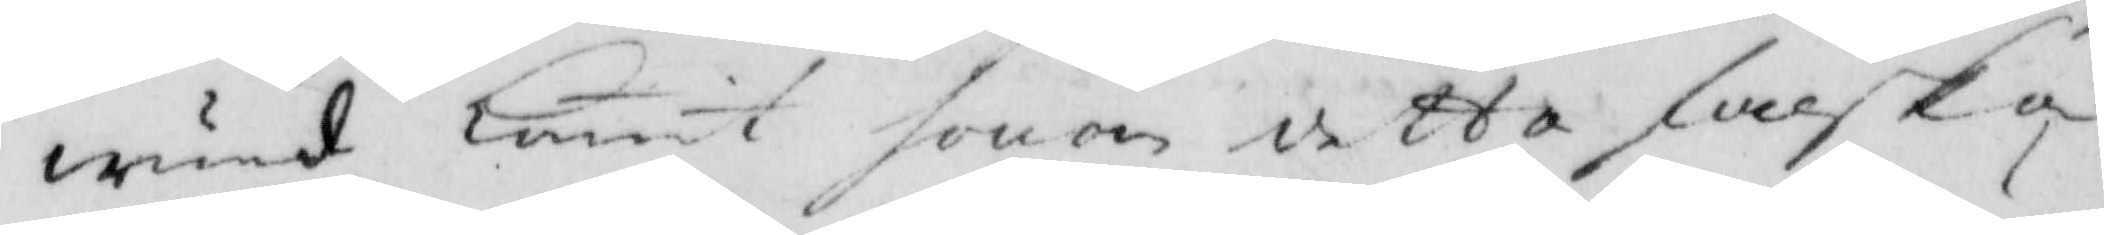wund komit honom detta falska
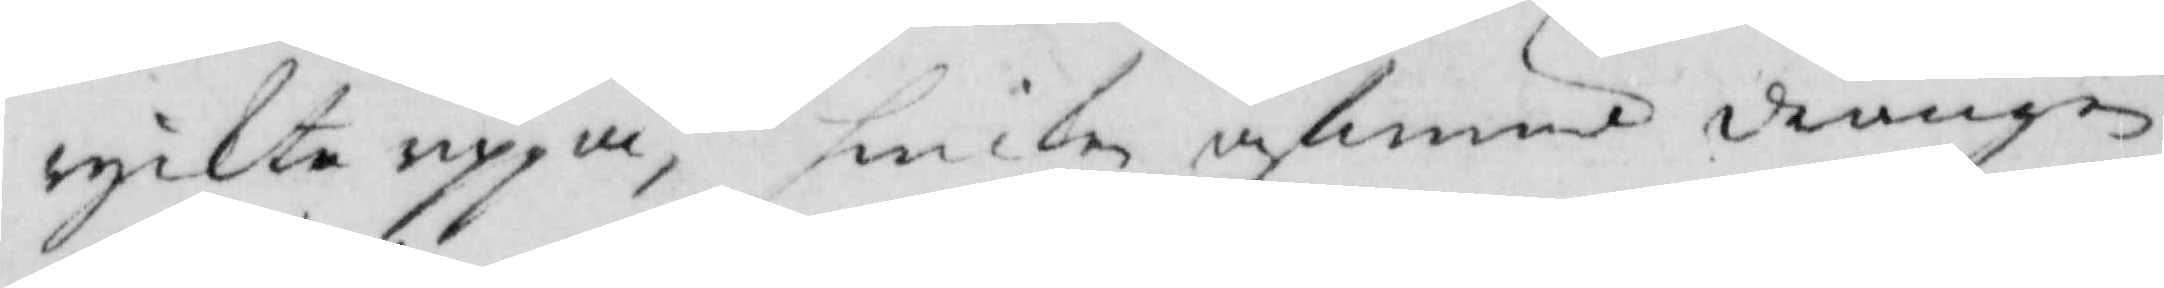ryckte uppå, hwilen afwund drängen
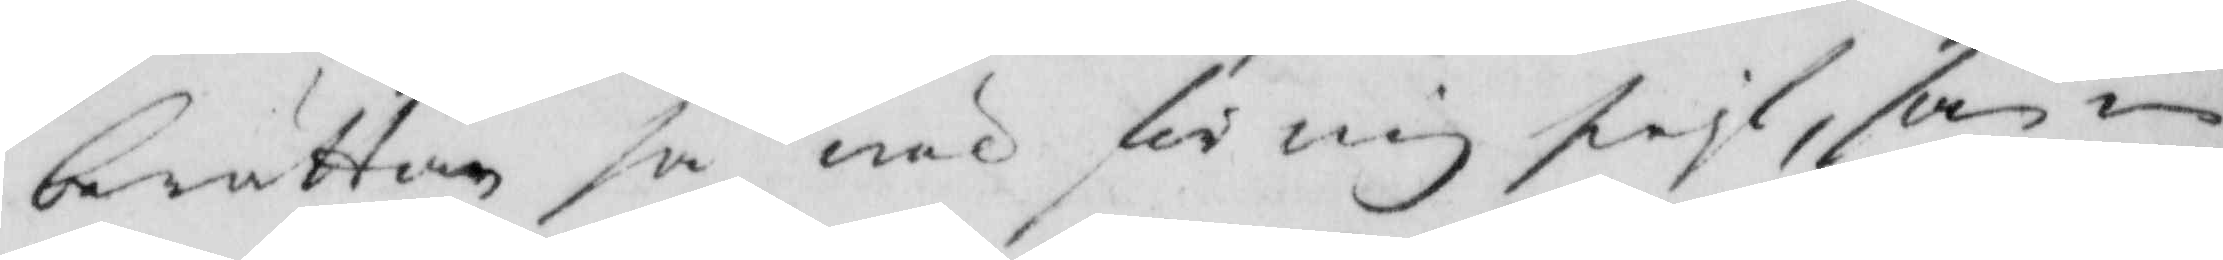berättar så wäl för mig sielf, som min
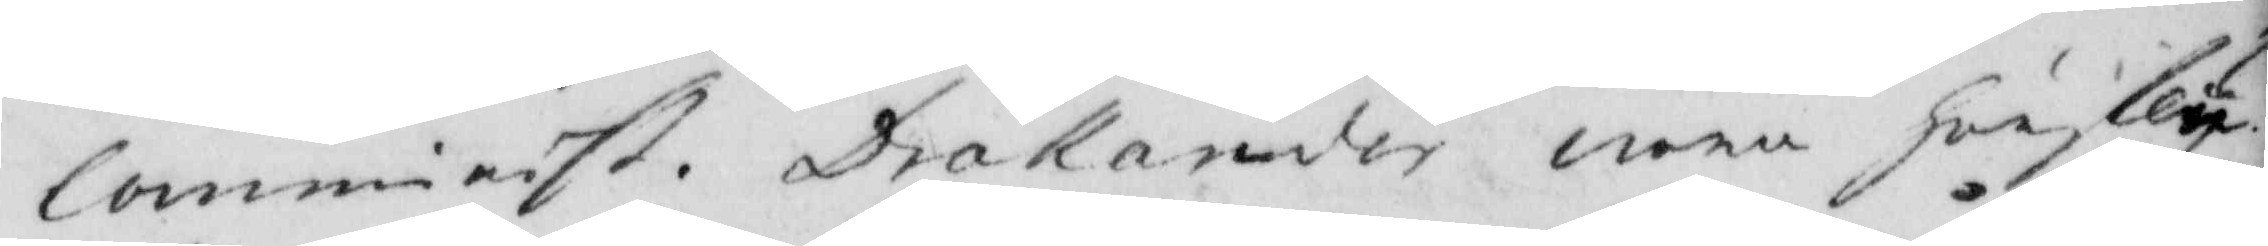Comminist. Drakander wara hörfly¬
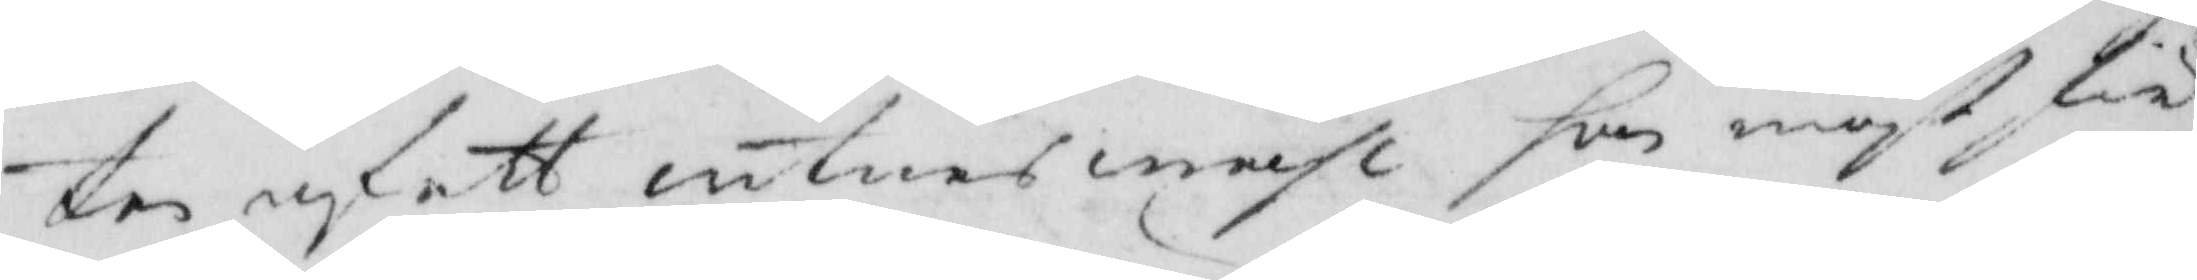ten infått witnes måhl som måst för
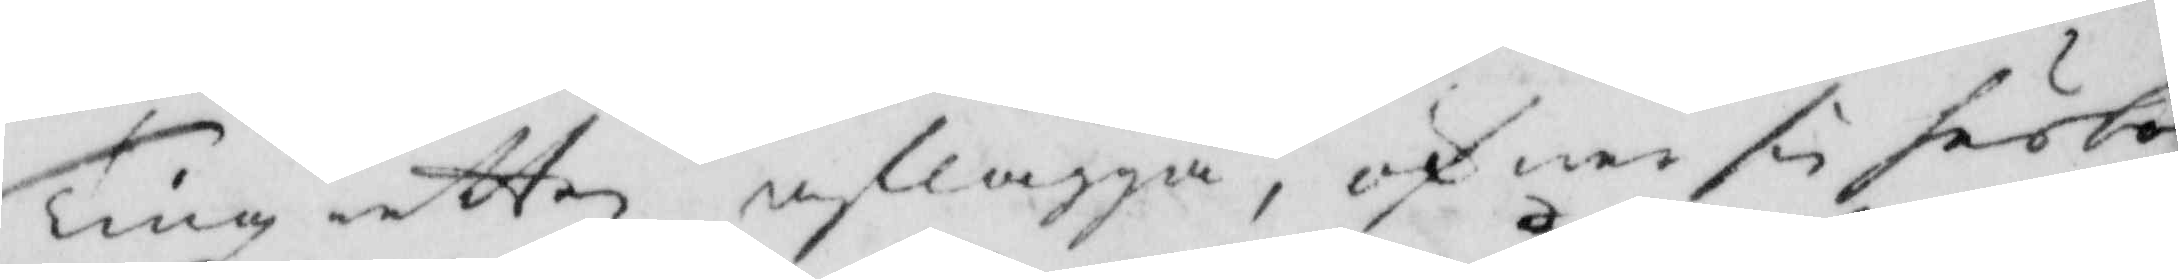Tingz retten aflagga, och war sin förlor¬
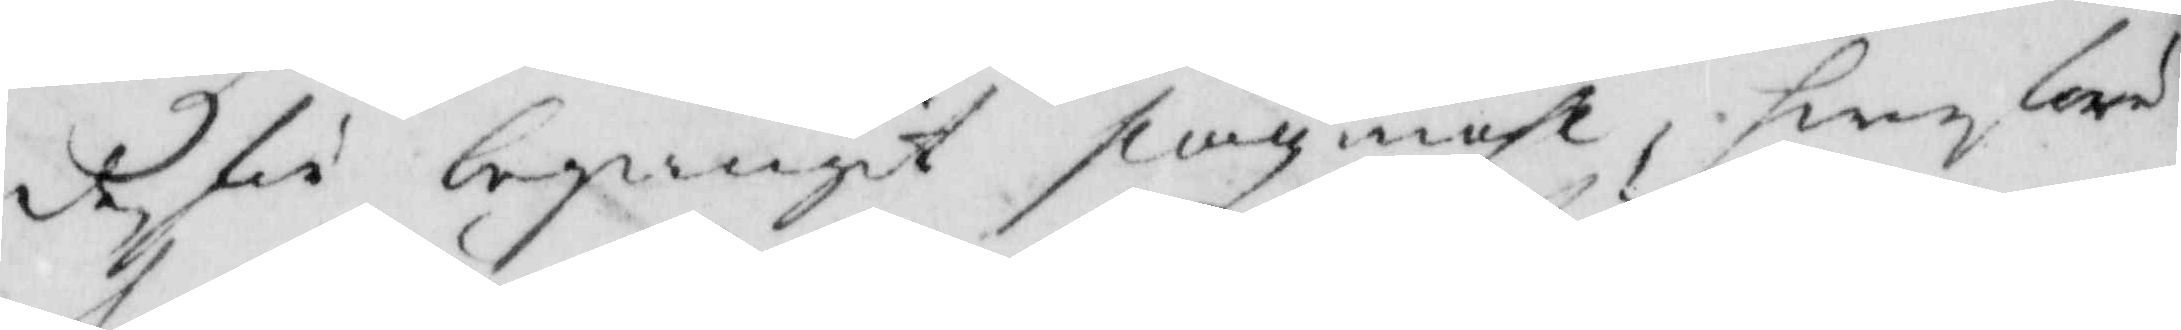de för begångit slagzmåhl, hwarföre
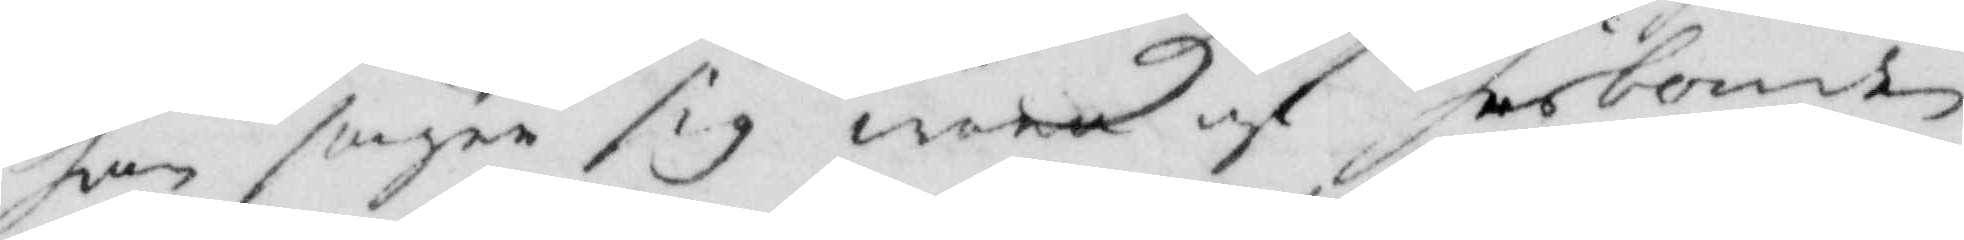han sager sig wara af husbonden
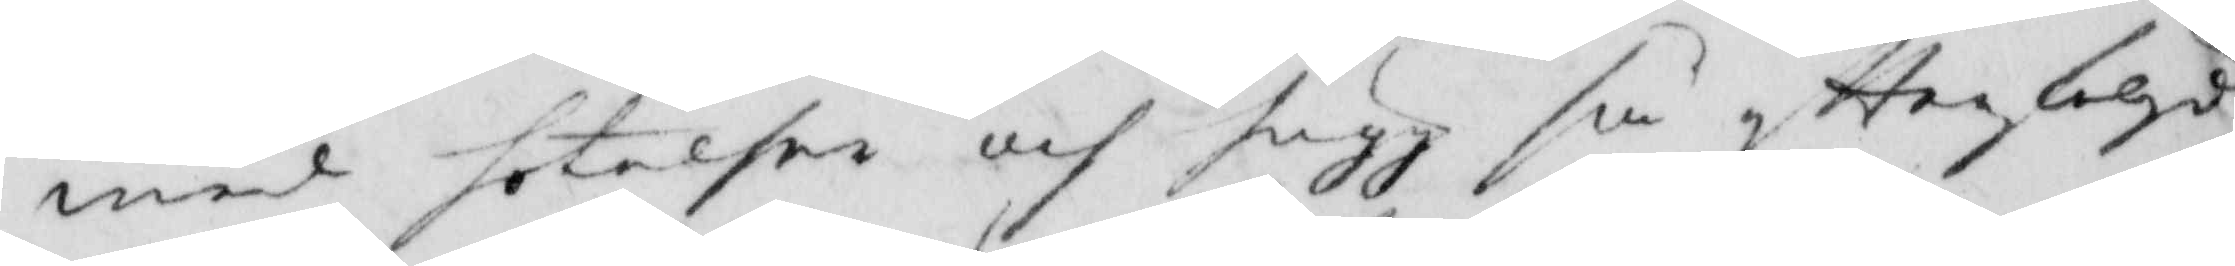med hotelser och hugg så eftterfölgd
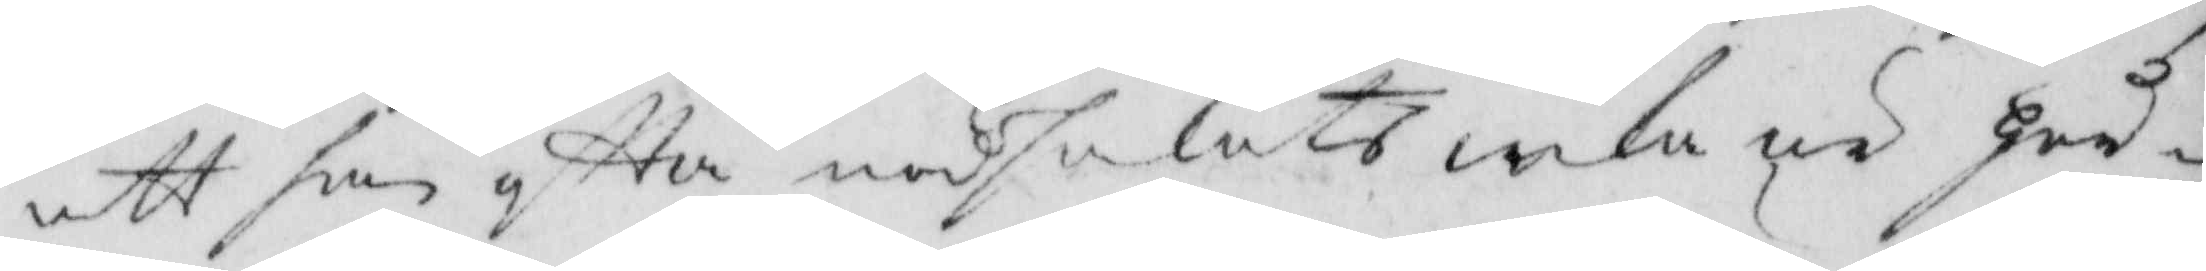att han eftter nödsakats icke är hör¬
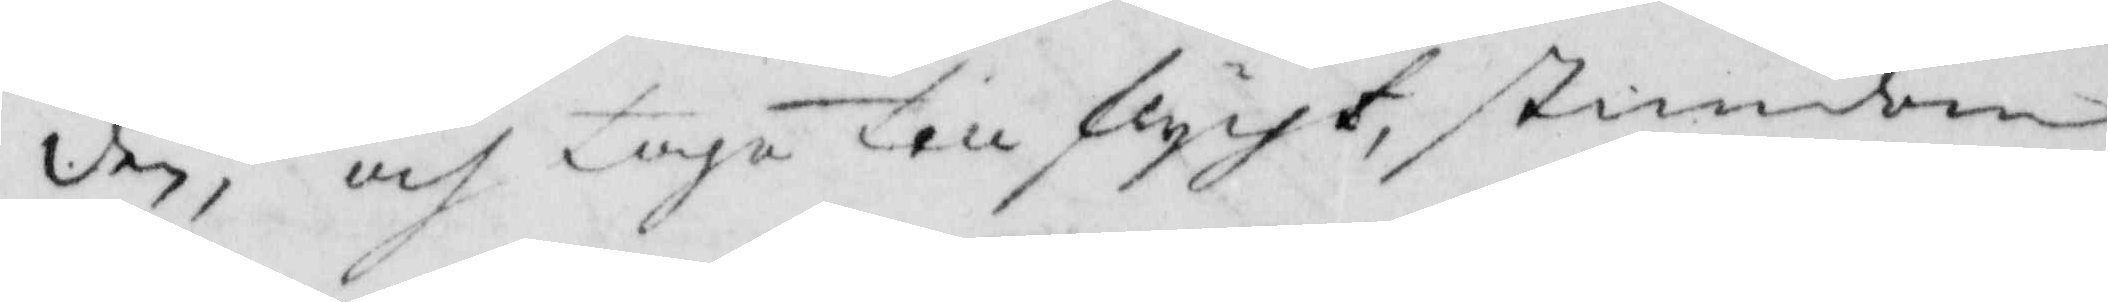den, och taga till flycht stundom
